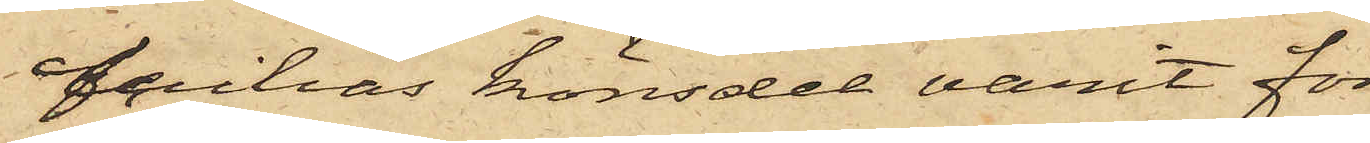Cecilias könsdel varit för
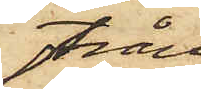trång,
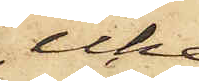icke
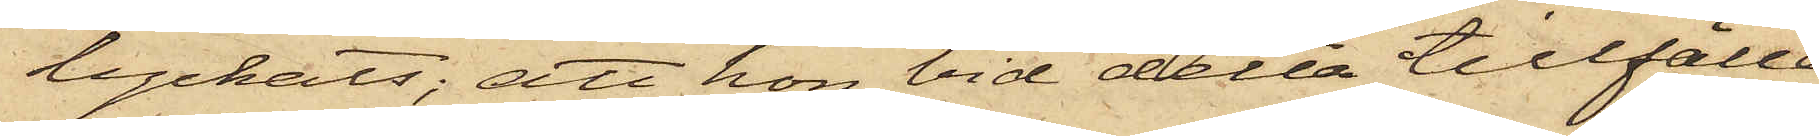lyckats; att hon vid detta tillfälle
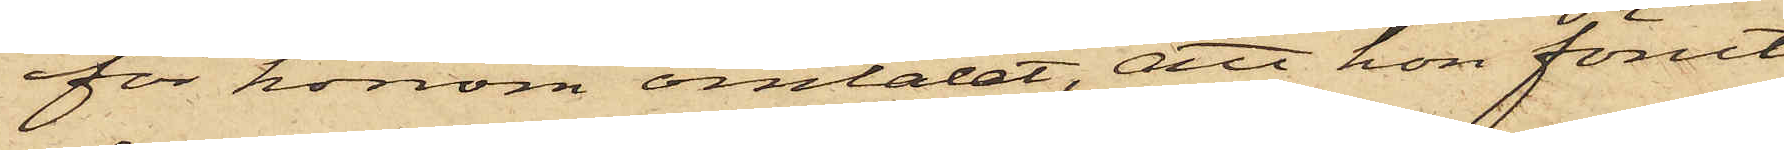för honom omtalat, att hon förut
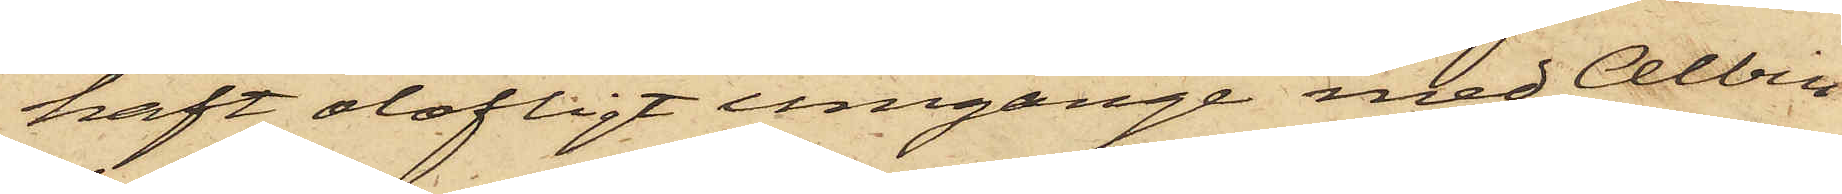haft olofligt umgänge med Albin
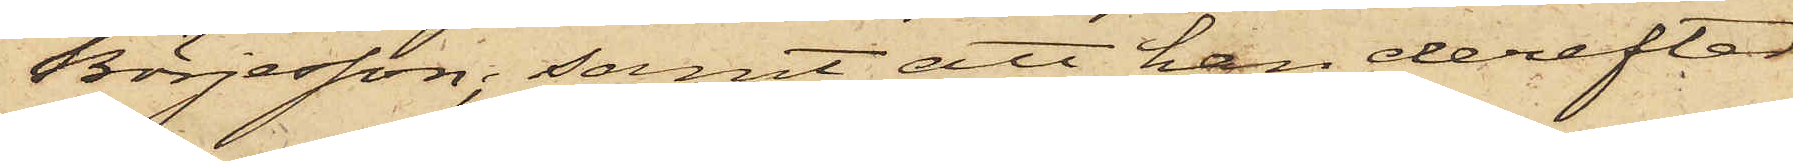Börjesson; samt att han derefter
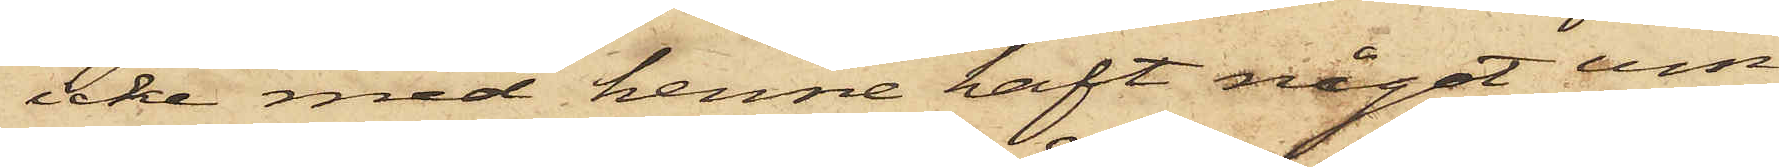icke med henne haft något um¬
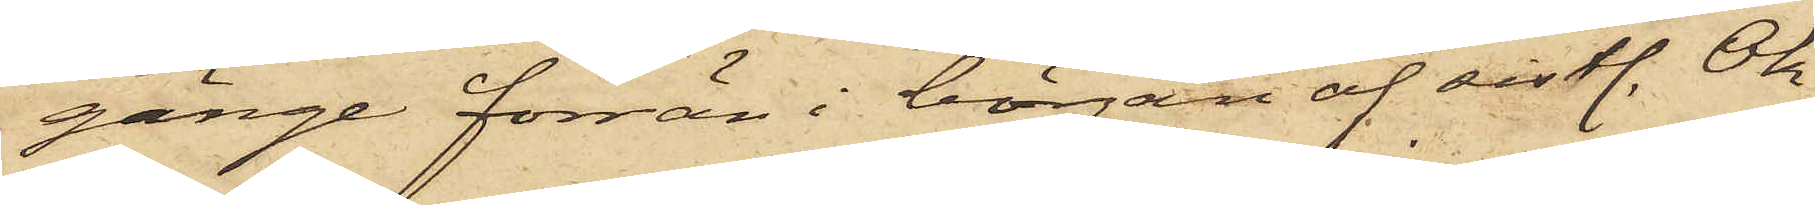gänge förrän i början af sistl. Ok¬
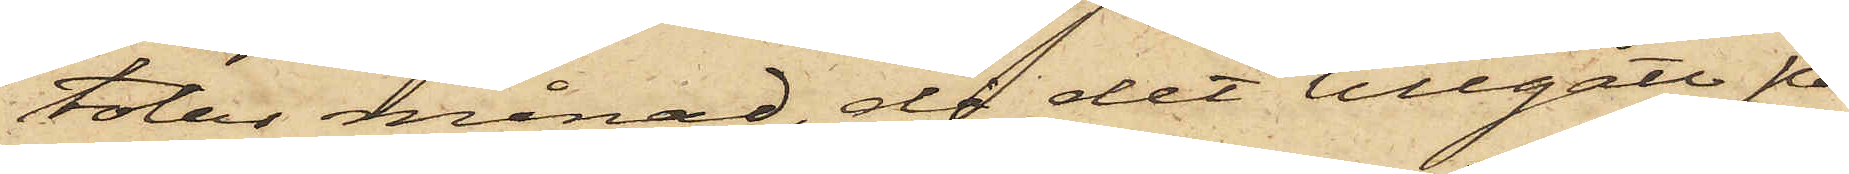tober månad, då det tillgått på
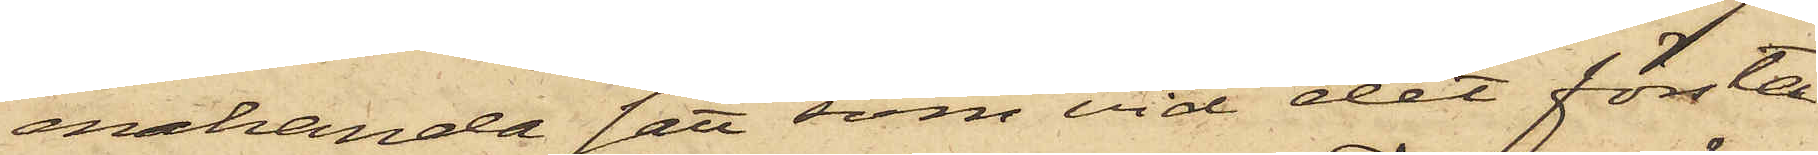enahanda sätt som vid det första
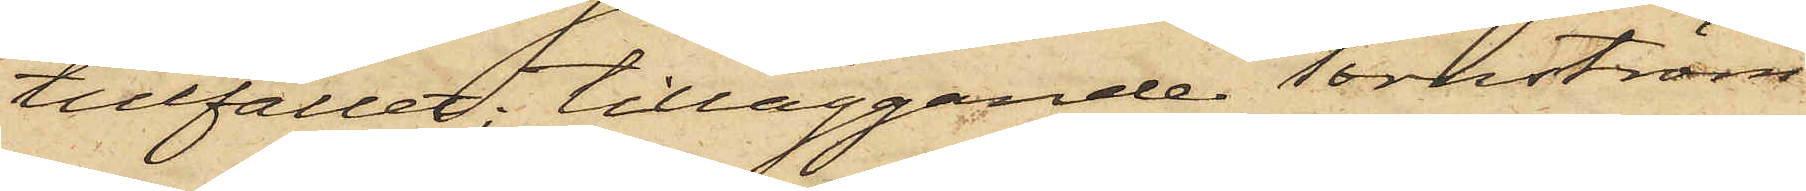tillfället; tilläggande Tornström
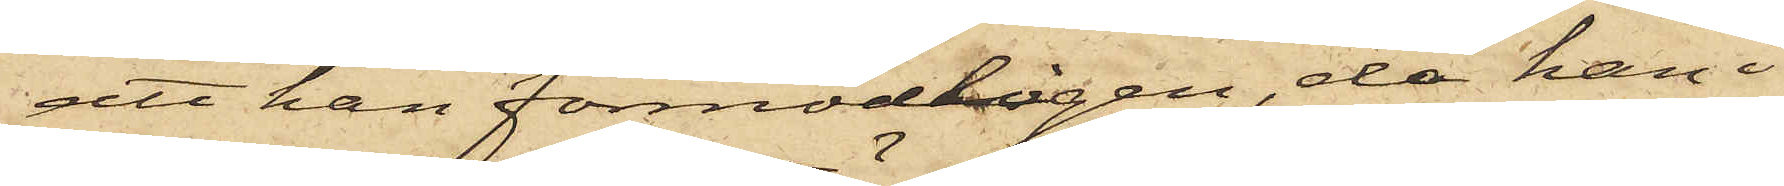att han förmodligen, då han i
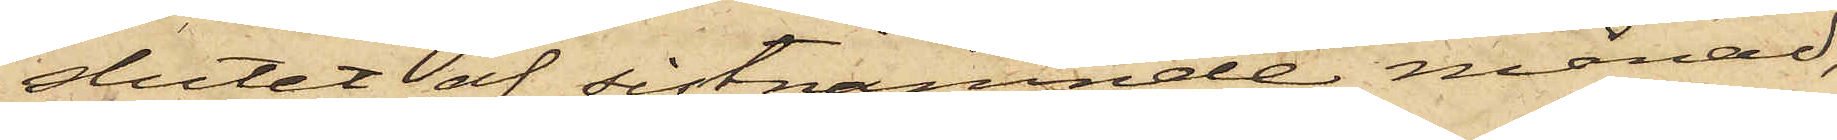slutet af sistnämnde månad,
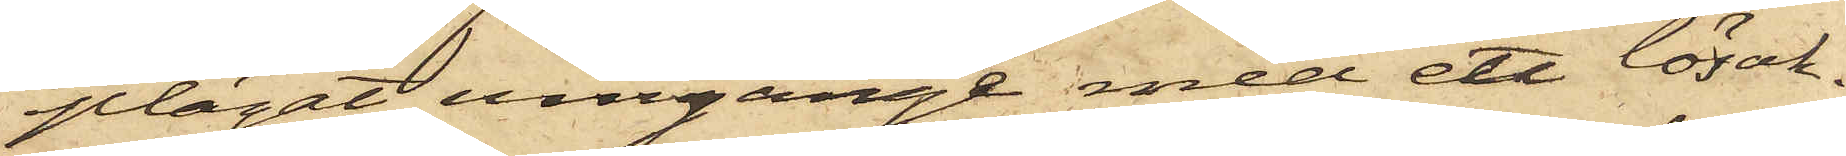plägat umgänge med ett lösak¬
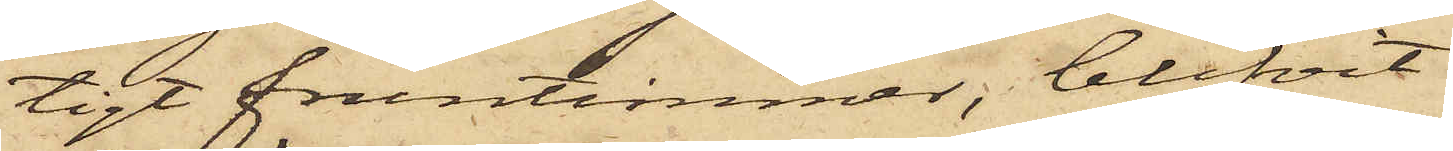tigt fruntimmer, blifvit
